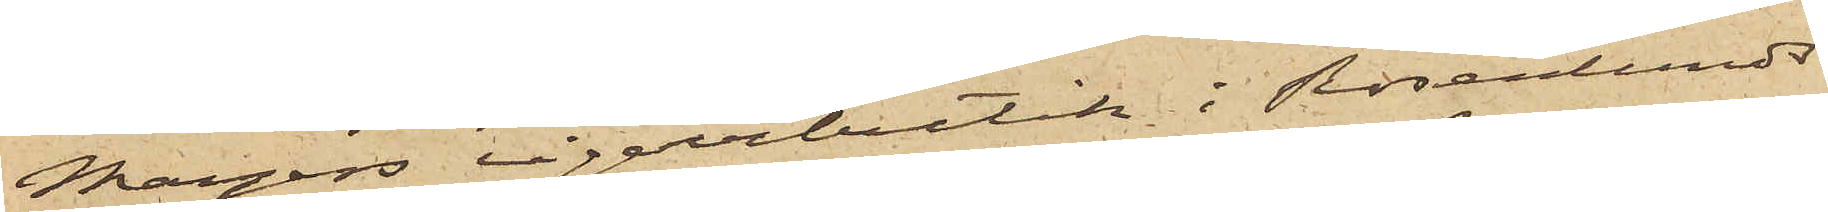Meyers cigarrbutik i Rosenlunds¬
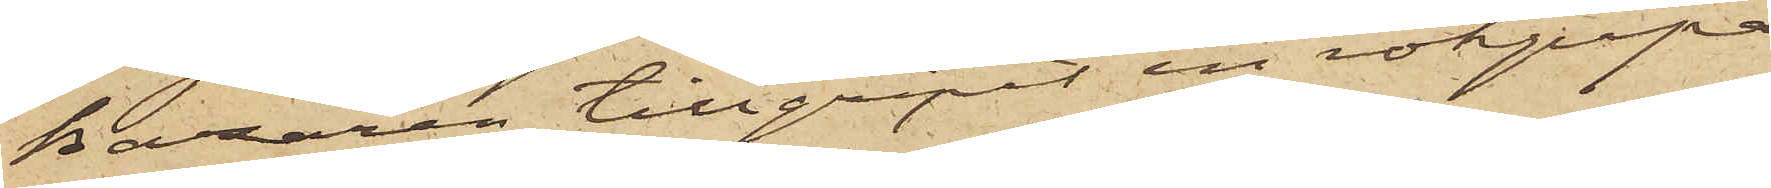bazaren tillgripit en rökpipa
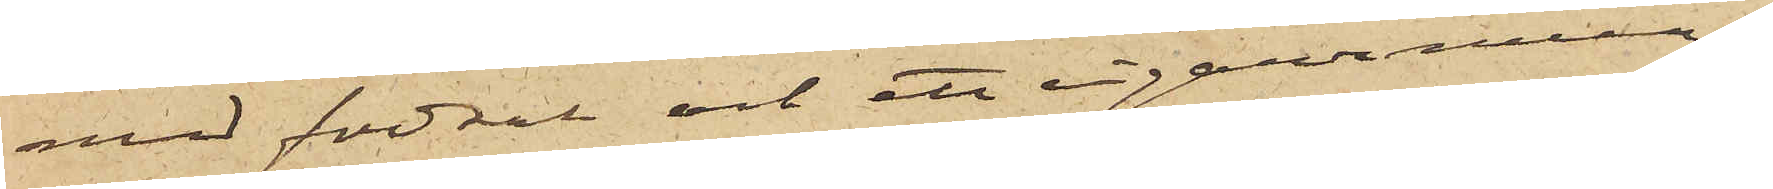med fodral och ett cigarrmun¬
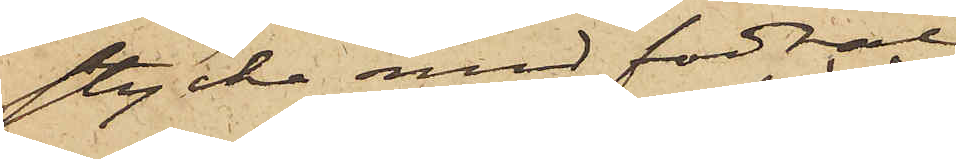stycke med fodral,
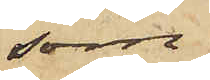som
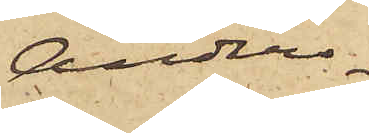Anders¬
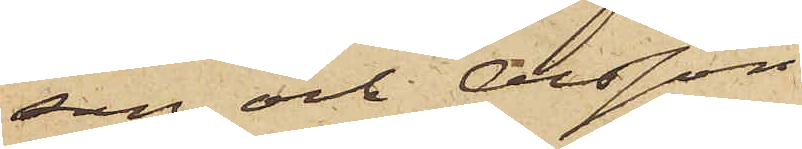son och Olsson
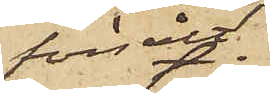försålt
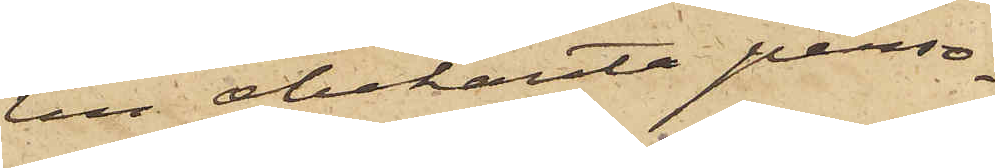till obekante perso¬
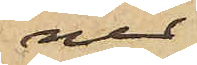ner
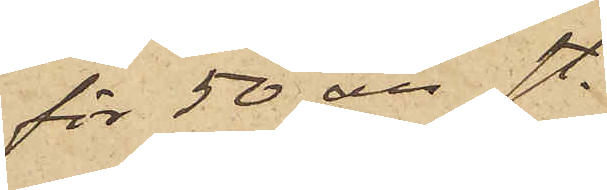för 50 öre st.
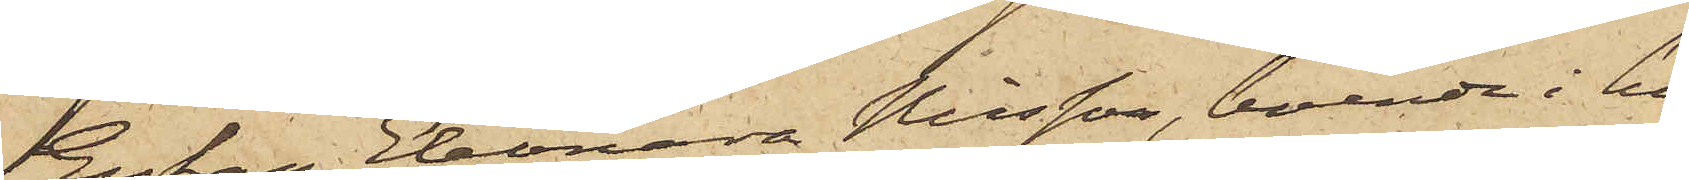Enkan Eleonora Nilsson, boende i hu¬
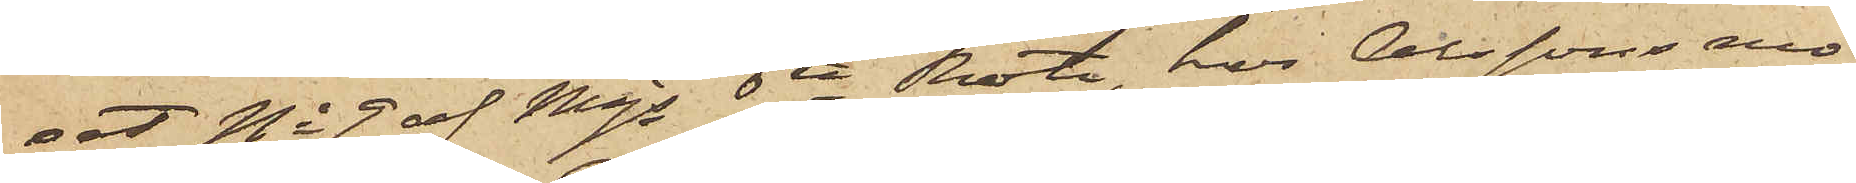set No 9 af Majs 6te Rote, hos Olssons mo¬
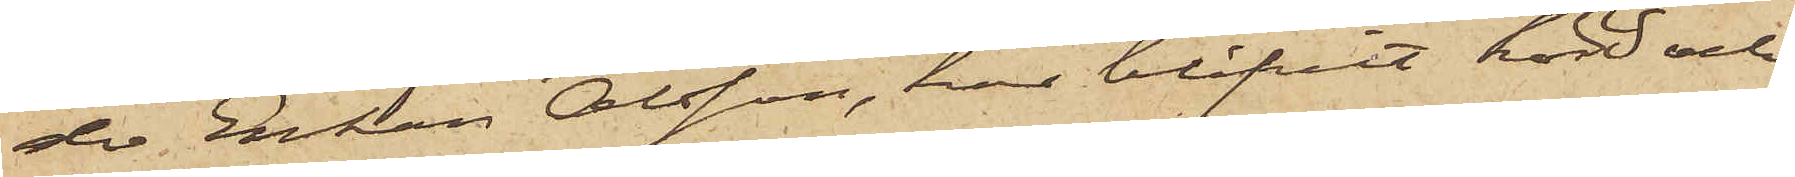der Enkan Olsson, har blifvit hörd och
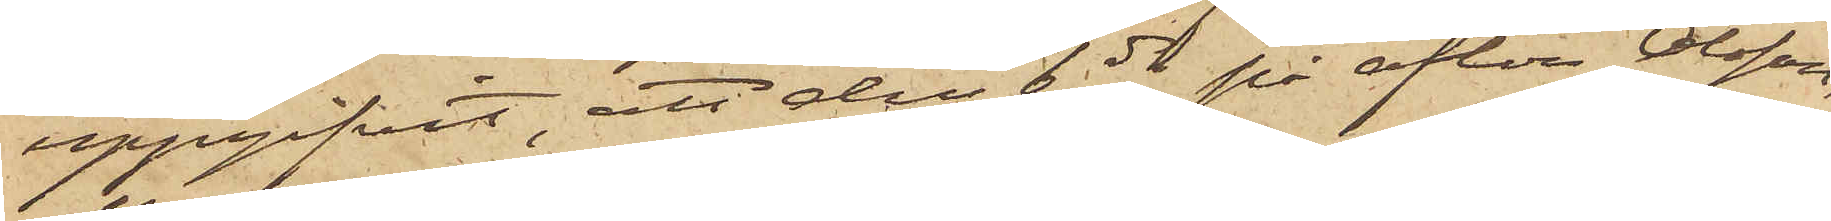uppgifvit, att den 6 ds på afton Olsson,
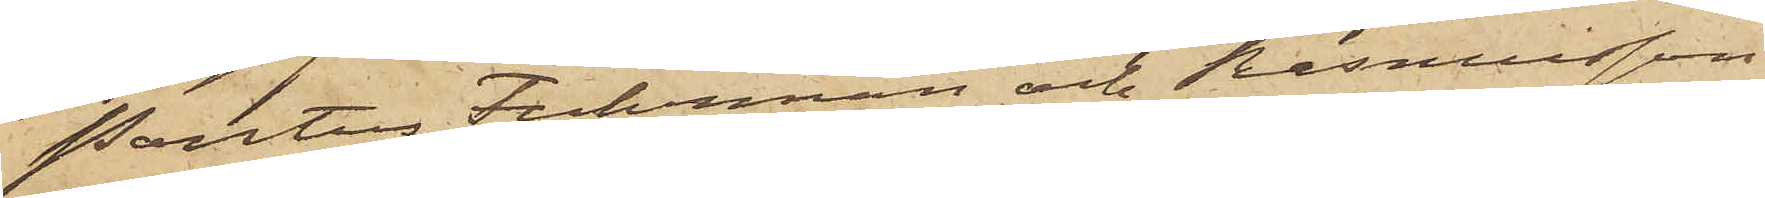Pontus Fuhrman och Rasmusson
